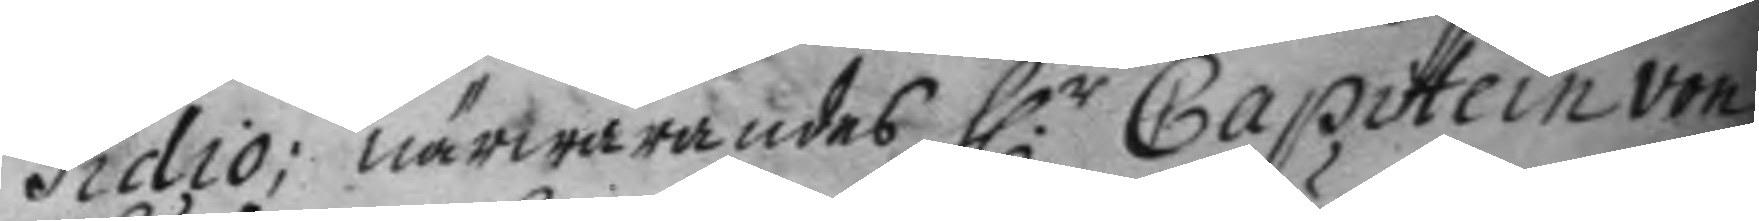sidio; närwarandes H.r Capitein von
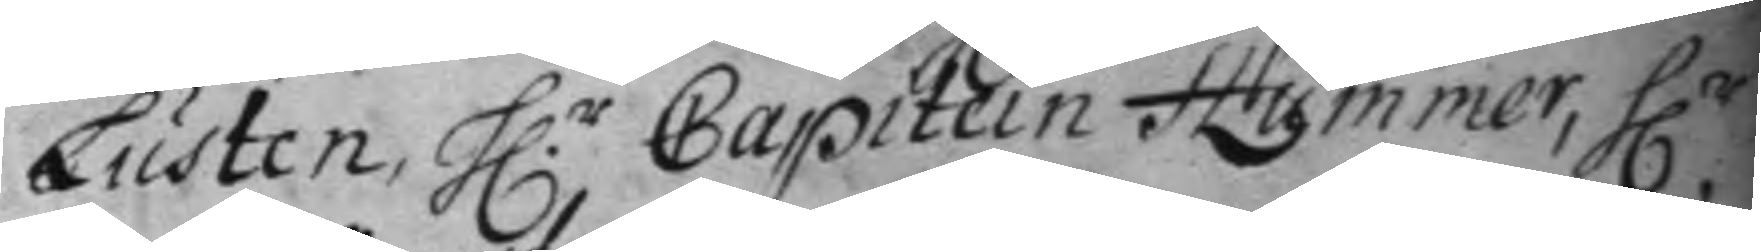Lusten, H.r Capitein Hummer, H.r
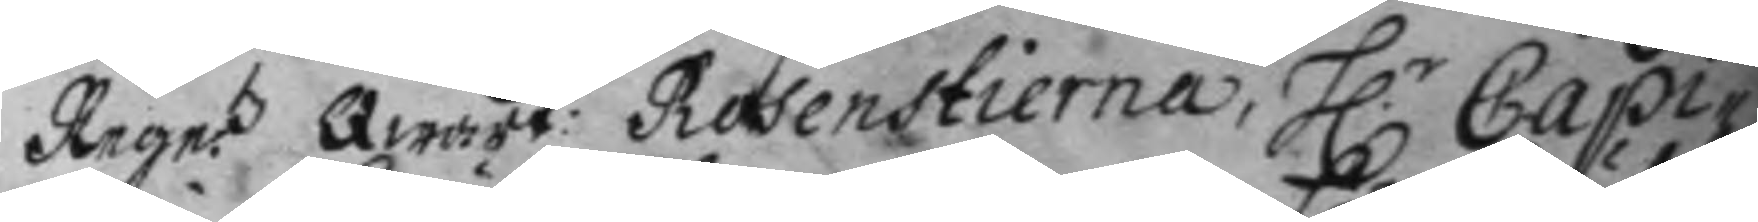Rege.tz Qwart: Rosenstierna, H.r Capi¬
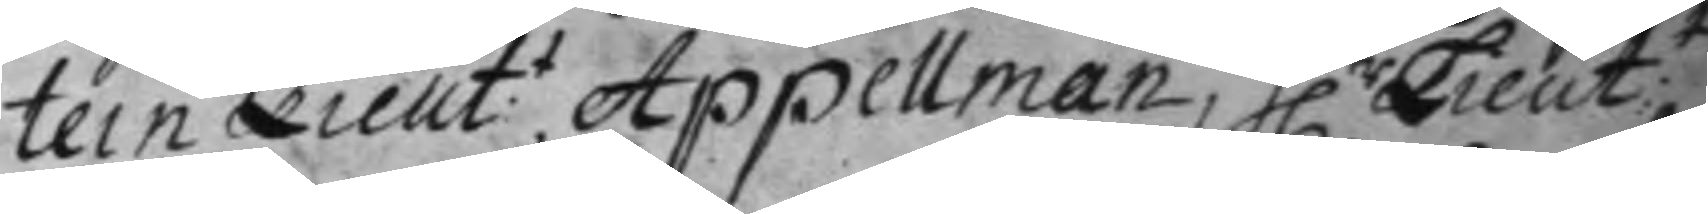tein Lieut.t Appellman, H.r Lieut:t
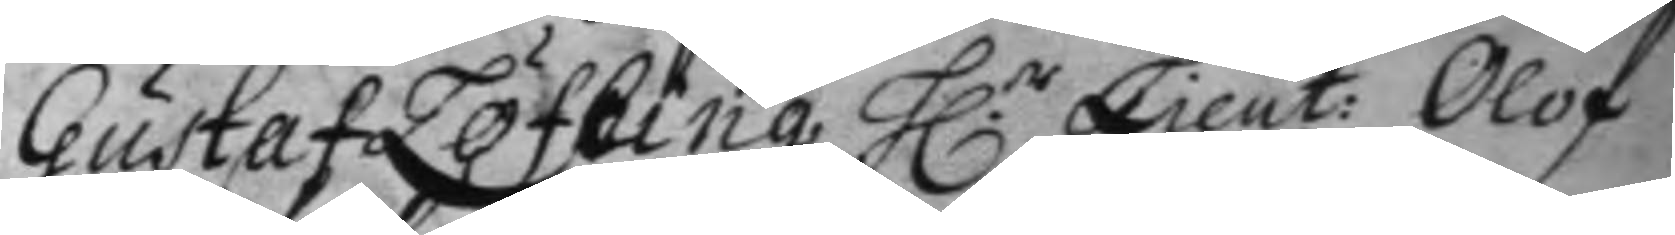Gustaf Löfhing, H.r Lieut: Olof
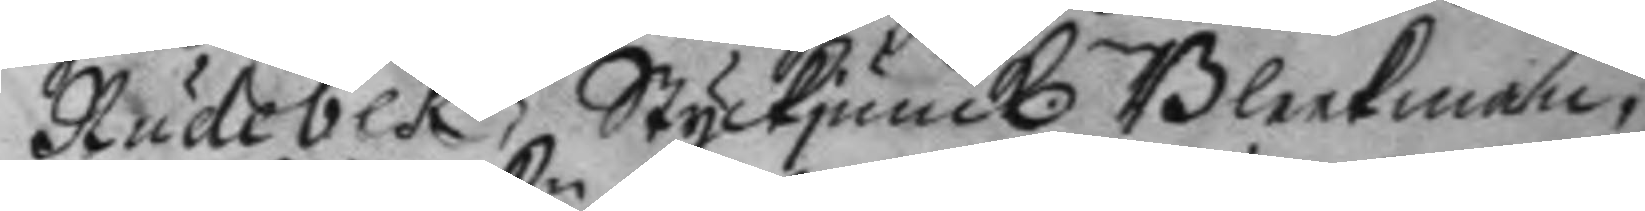Rudbeck, Styckjunck. Bleekman,
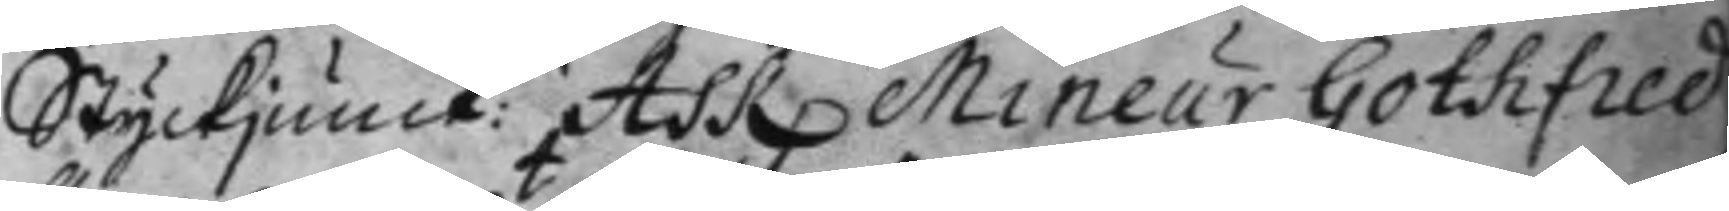Styckjunck:n Ask, Mineur Gothfred
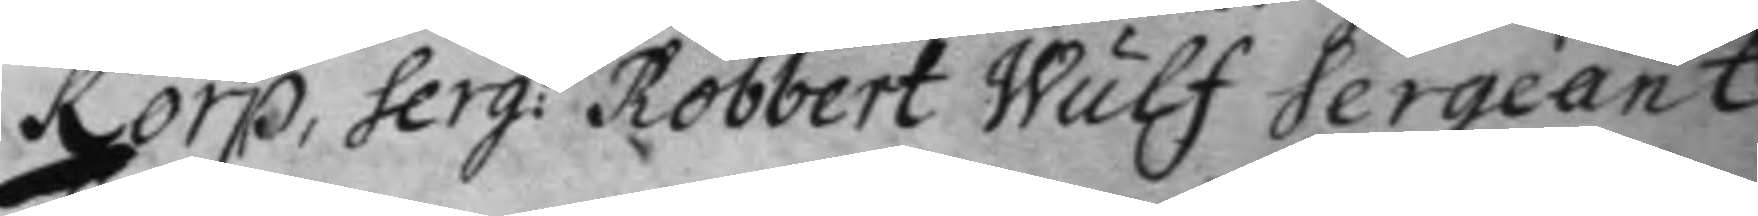Korp, Serg:t Robbert Wulf Sergeant
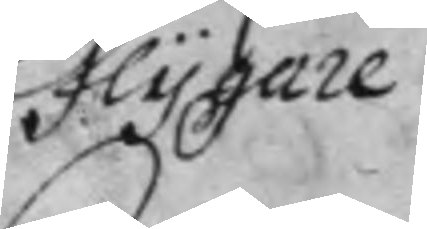Flygare
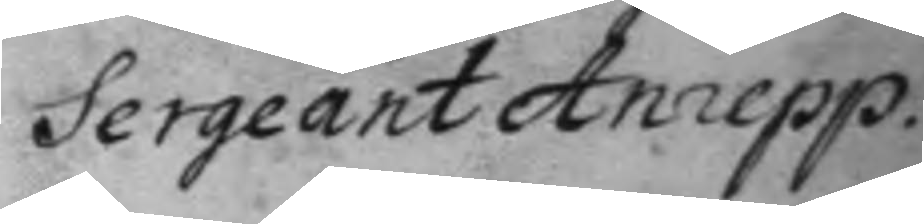Sergeant Anrepp.
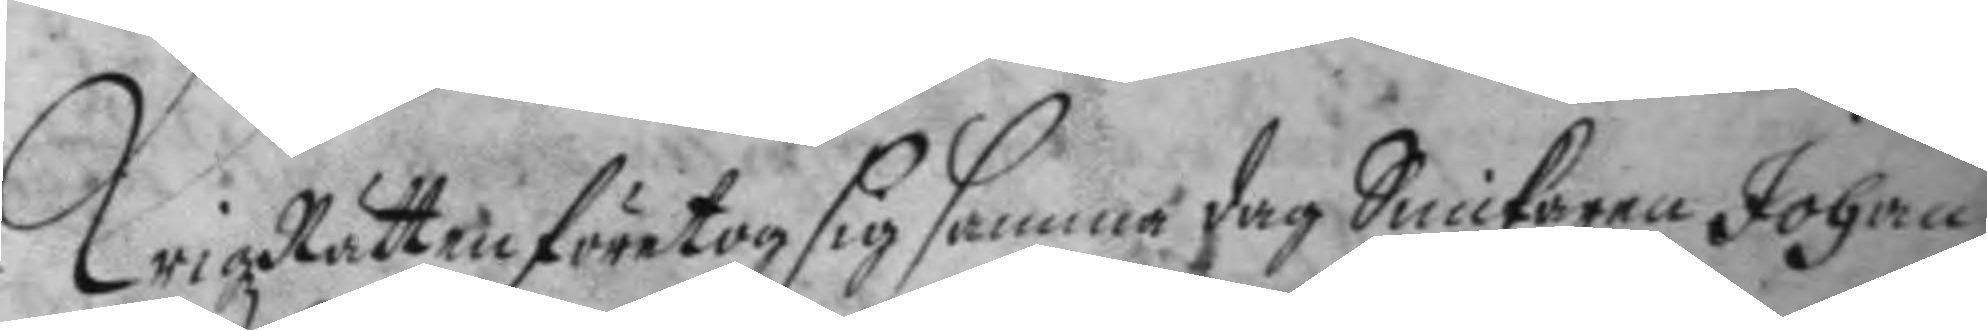KrigzRätten företog sig samma dag Snickaren Johan
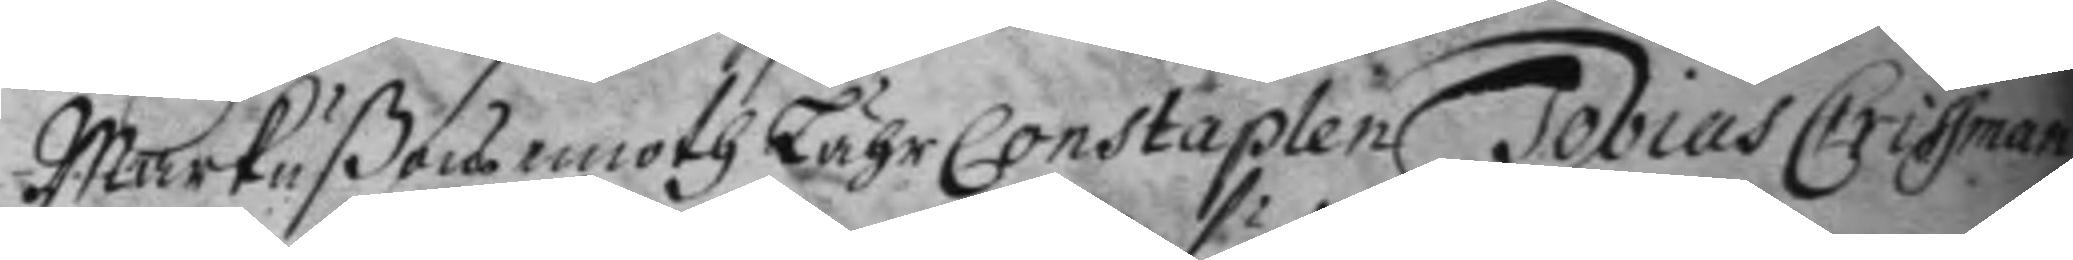Markußons emoth Lähr Constaplen Tobias Crissman
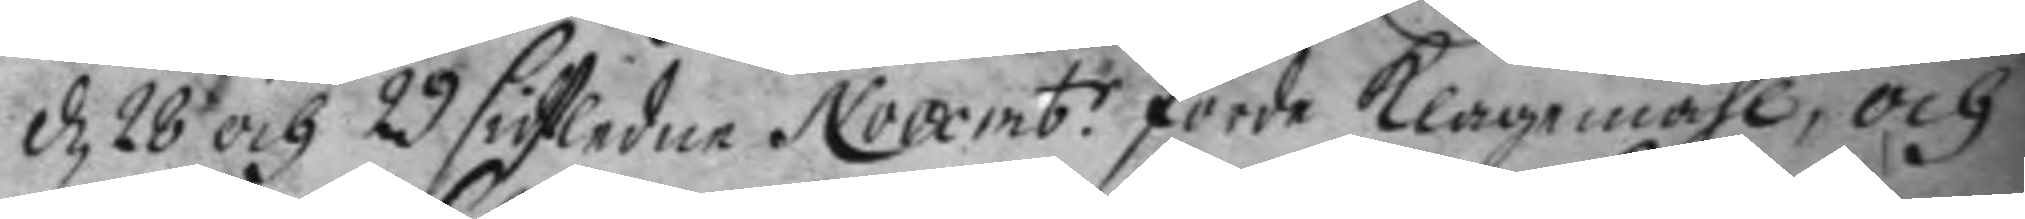d 28 och 29 sidstledne Novemb.r förde klagemåhl, och
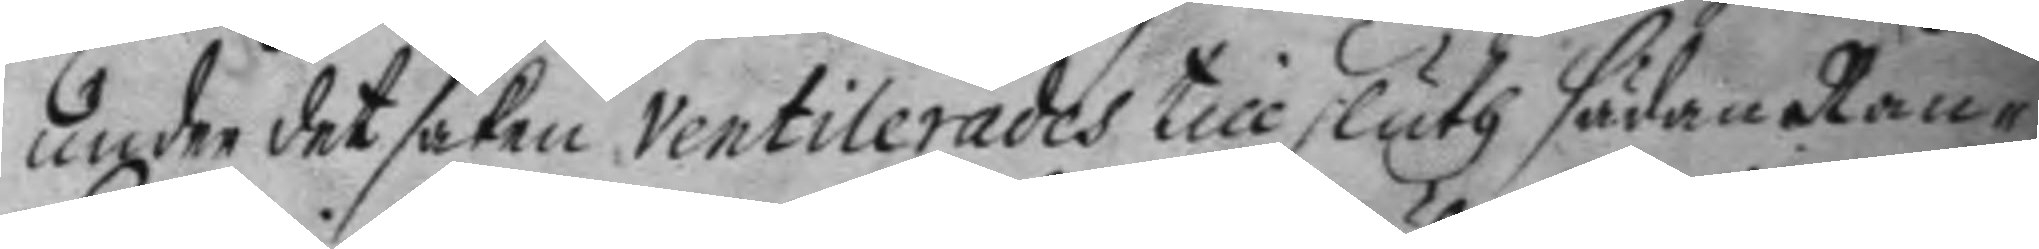under det saken ventilerades till sluth sädan Ran¬
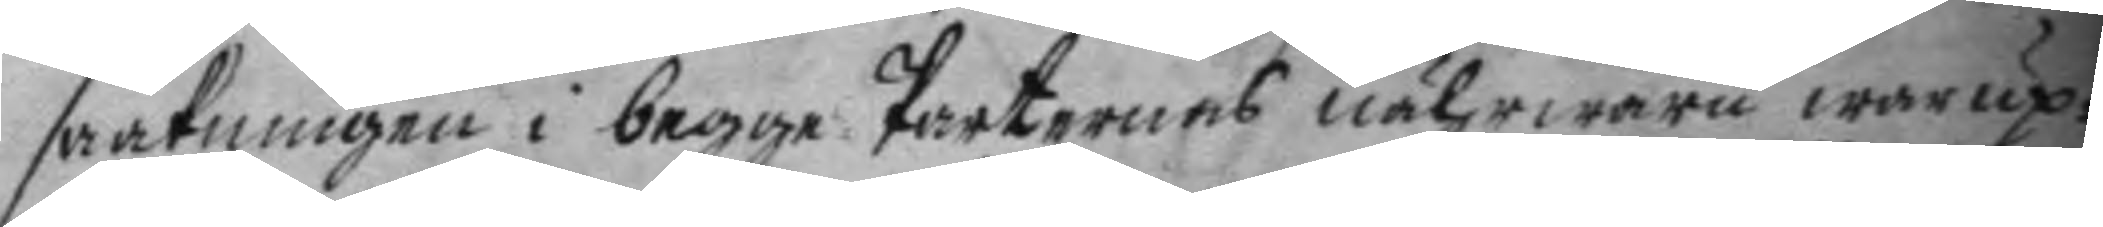sakningen i begge Perternes nährwaru war up¬
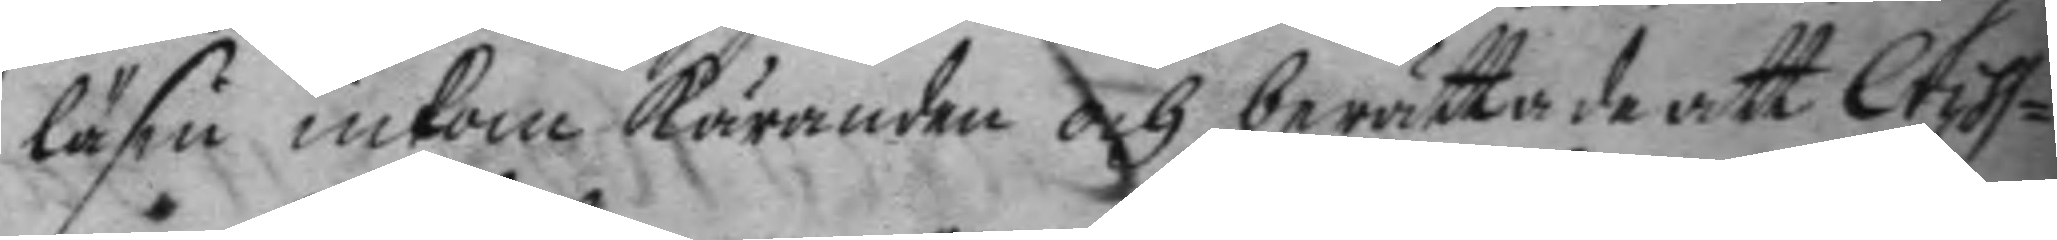läsin inkom käranden och berättade att Criss¬
